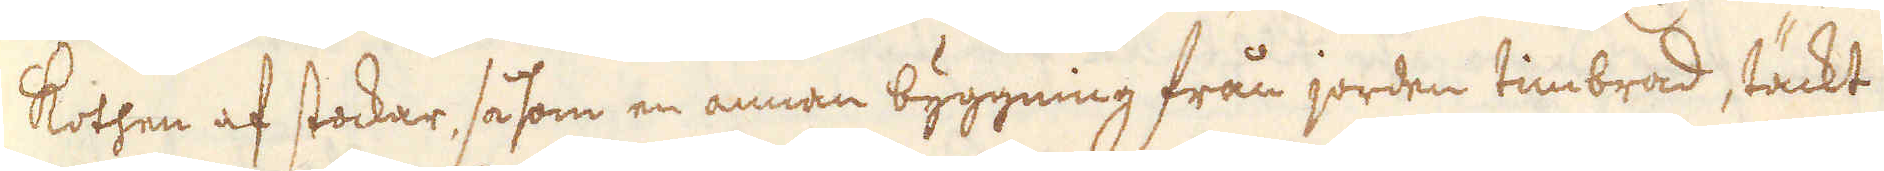Kothen af stockar, så som en annan byggning från jorden timbrad, täckt
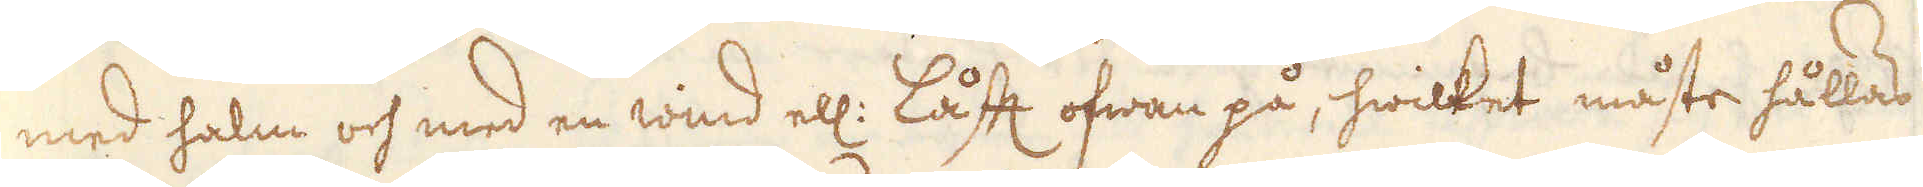med halm och med en wind ell: låfft ofwan på, hwilket måste hållas
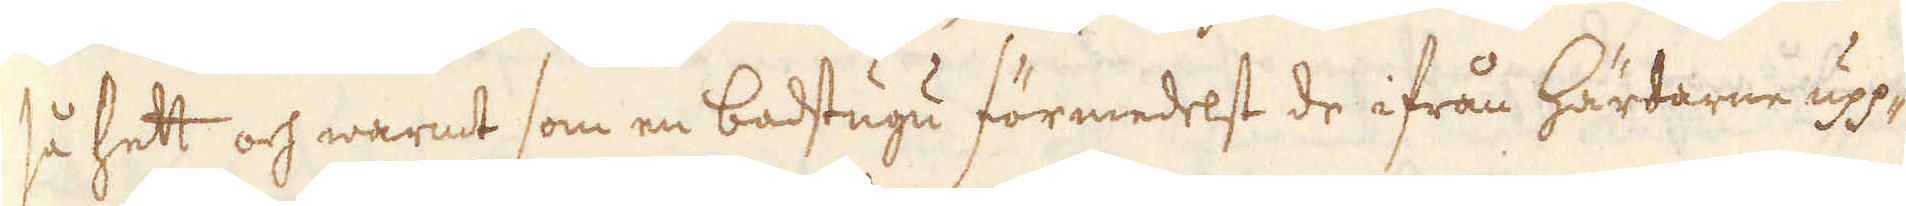så hett och warmt som en badstugu förmedelst de ifrån härdarne upp-
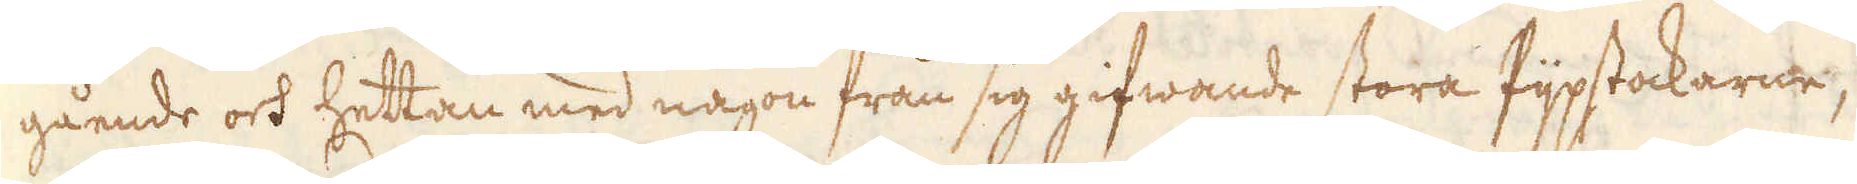gående och hettan med någon från sig gifwande stora Pijpstockarne,
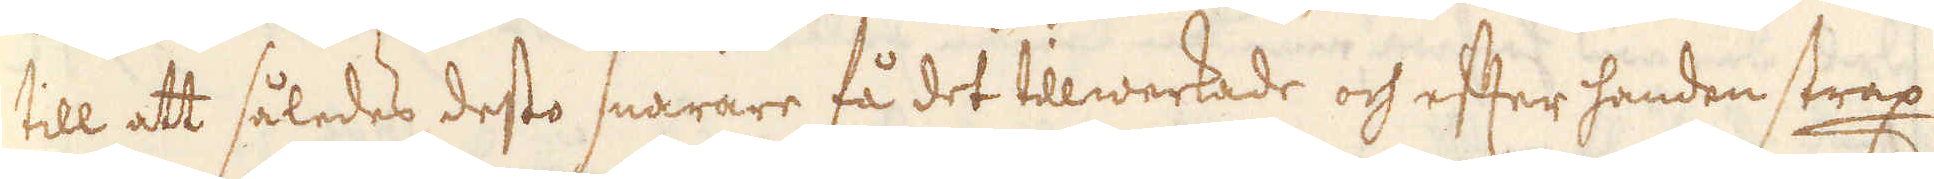till att således desto snarare få det tillwerkade och efter handen strax
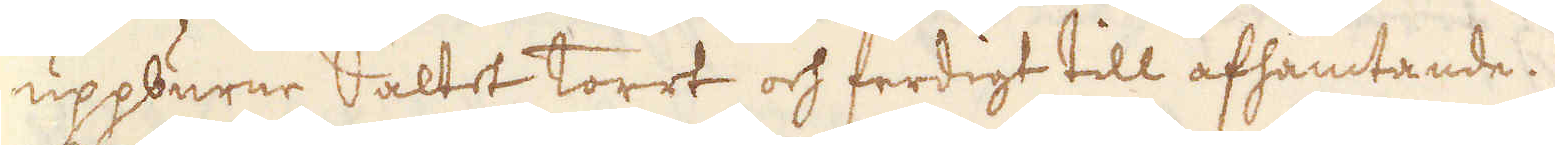uppburne Saltet torrt och ferdigt till afhämtande.
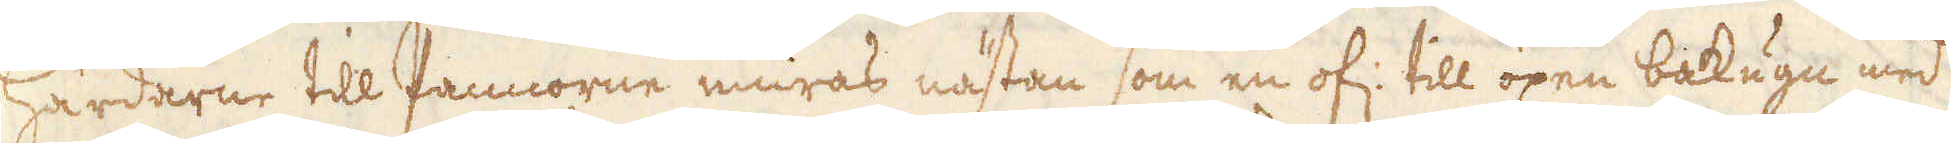Härdarne till Pannorne muras nästan som en of: till öpen bakugn, med
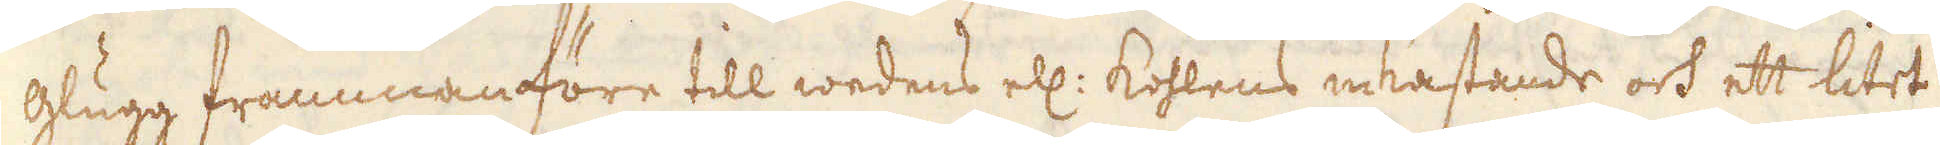glugg frammanföre till wedens ell: kohlens inkastande och ett litet
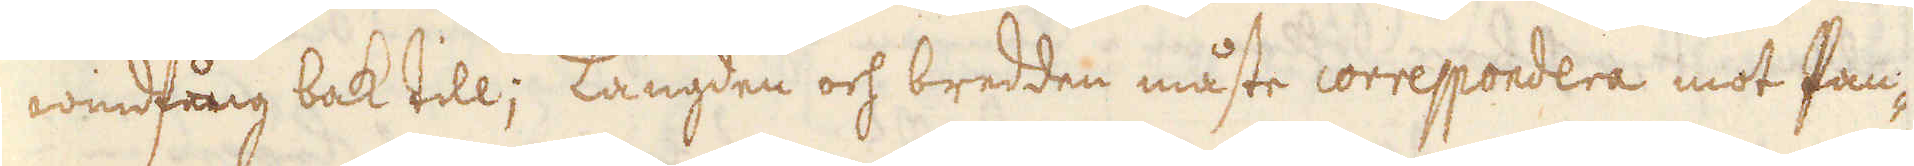windfång bak till; Längden och bredden måste correspondera mot Pan-
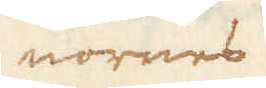nornes
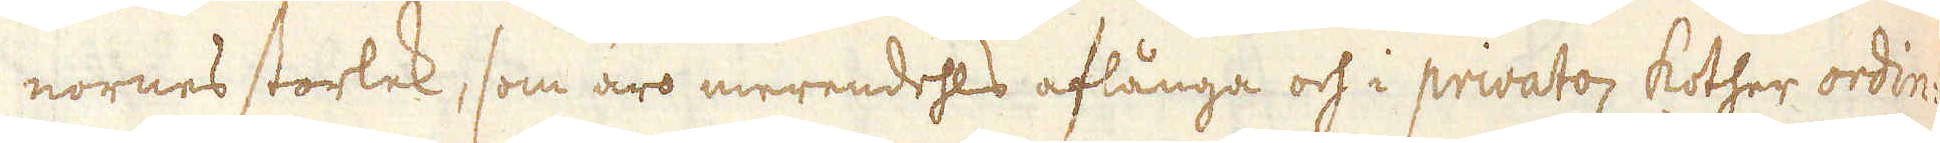nornes storlek, som äro merendehls aflånga och i privato kother ordin:
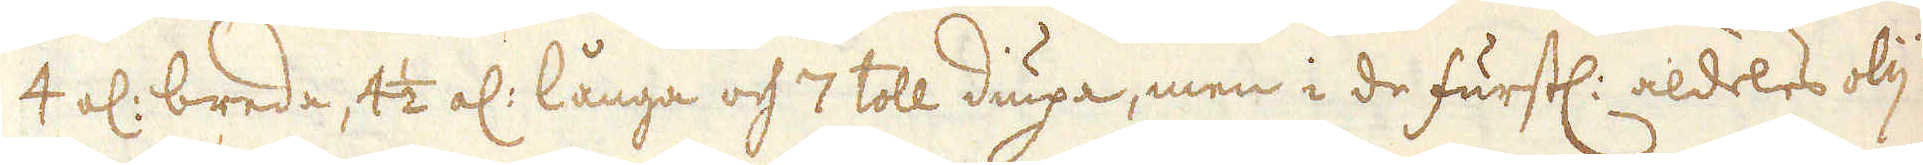4 al: breda, 4 1/2 al: långa och 7 toll diupa, men i de furstl: aldeles olij-
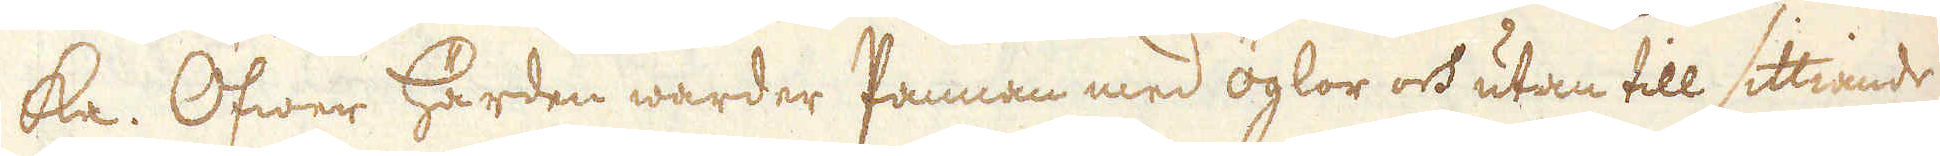ka. Öfwer Härden warder Pannan med öglor och utan till sittiande
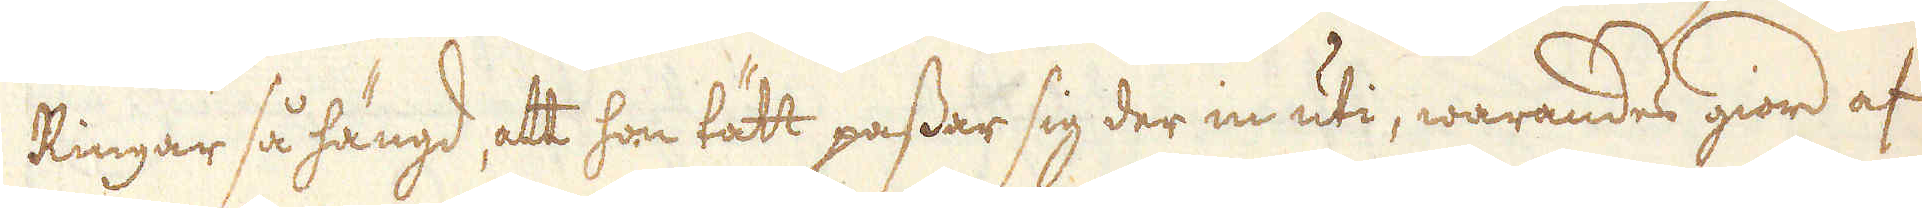Ringar så hängd, att hon tätt passar sig der in uti, warandes giord af
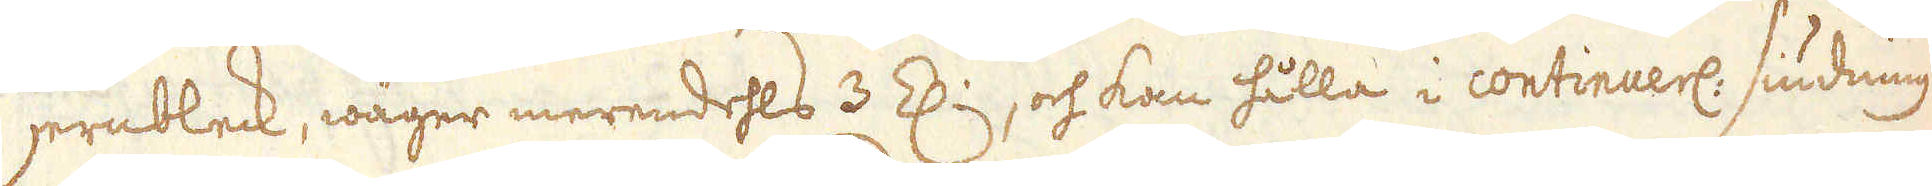jernbleck, wäger merendehls 3 Z:, och kan hålla i continuerl: siudning
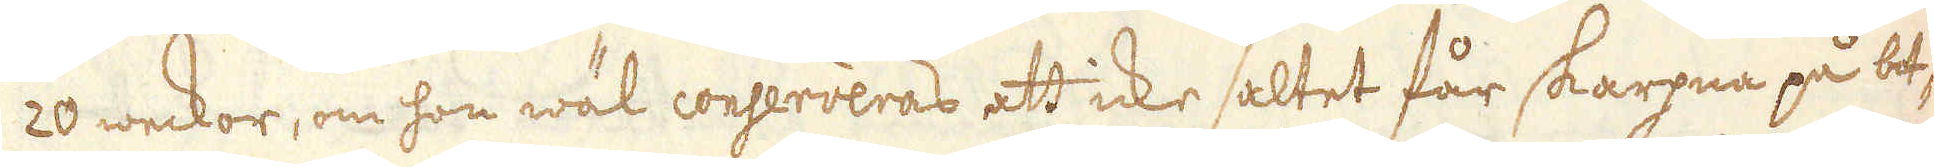20 weckor, om hon wäl conserveras att icke saltet får skarpna på be-
